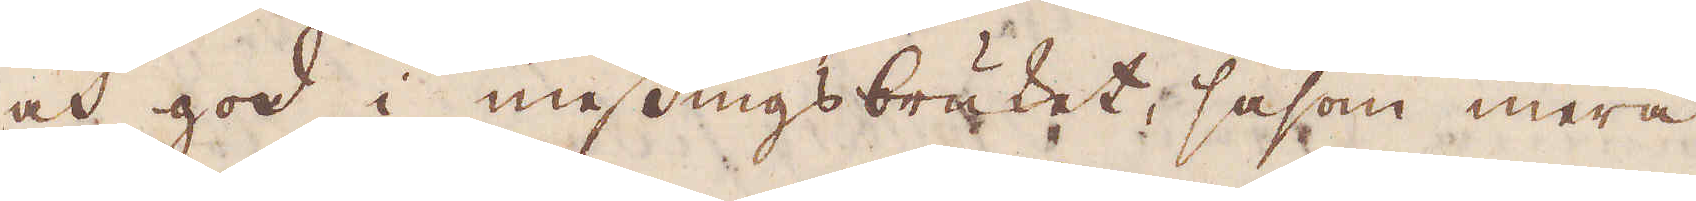och god i messingsbräket, såsom mera
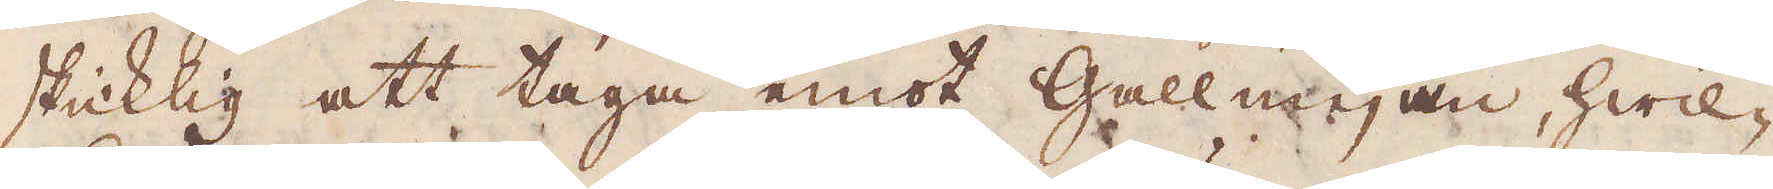skicklig att taga emot Gallmejan, hwil-
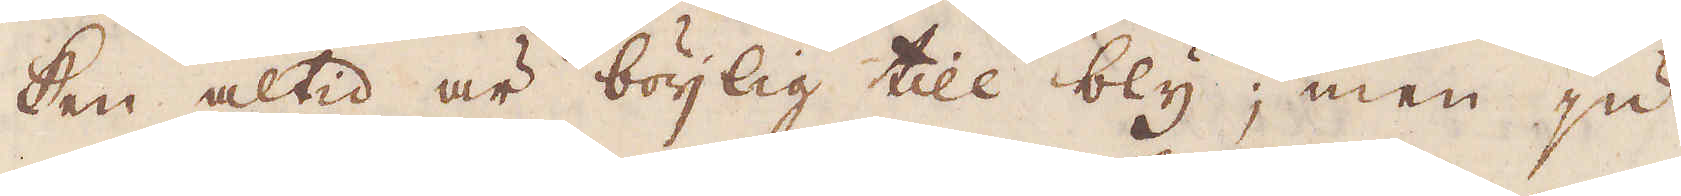ken altid är böijlig till bly; men ju
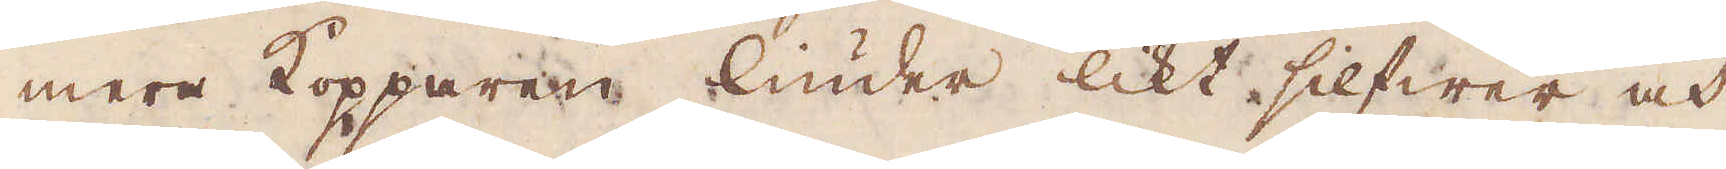mera Kopparen liuder likt sillfwer och
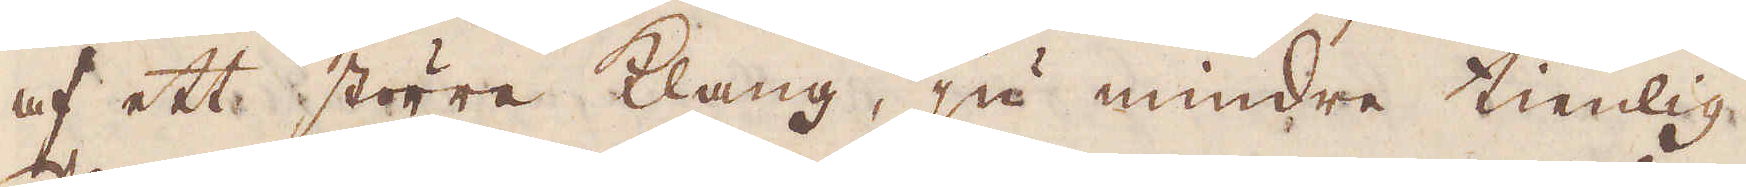af ett större Klang, ju mindre tienlig.
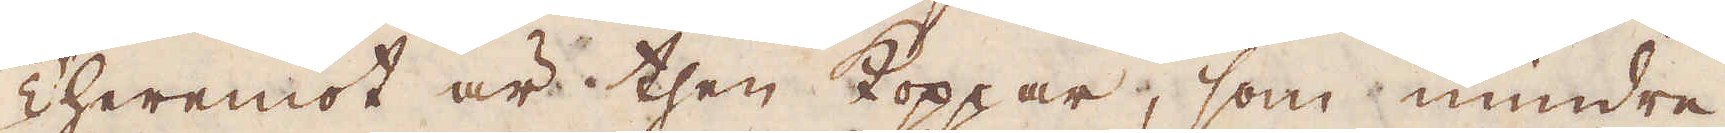Theremot är then Koppar, som mindre
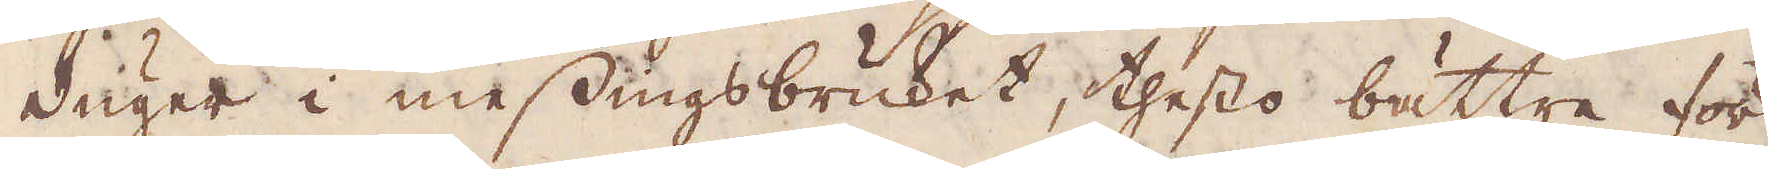duger i messingsbruket, thesto bättre för
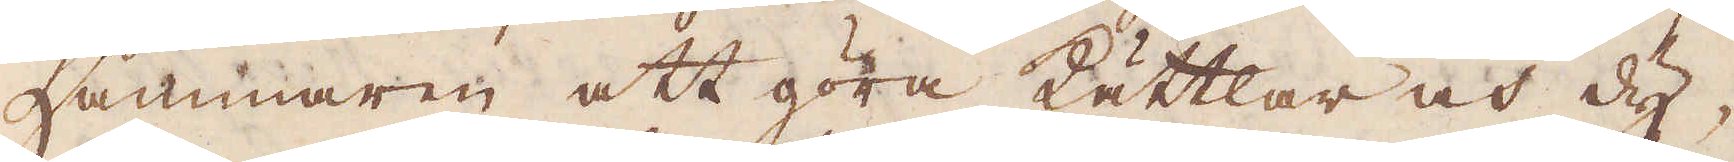hammaren att göra Kättlar och dy-
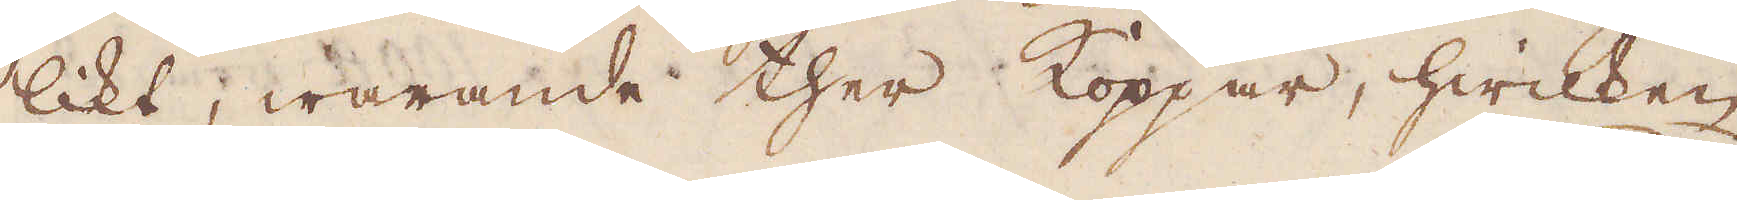likt, warande ther Koppar, hwilken
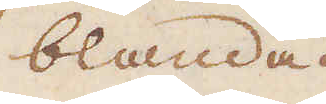blandad
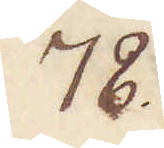78.
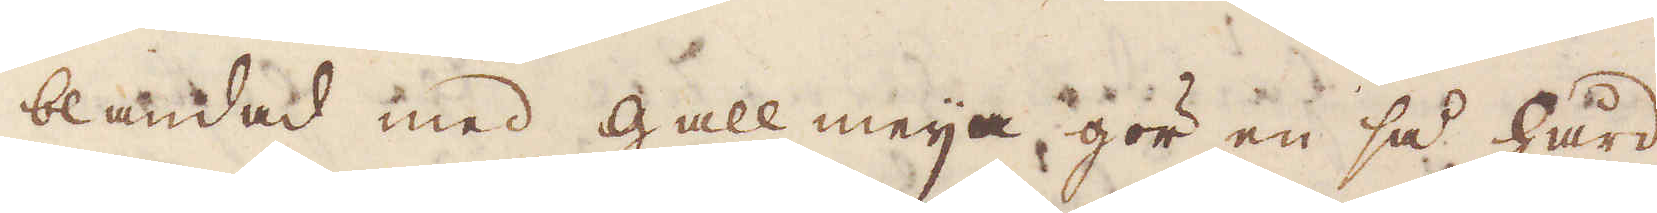blandad med gallmeija gör en så hård
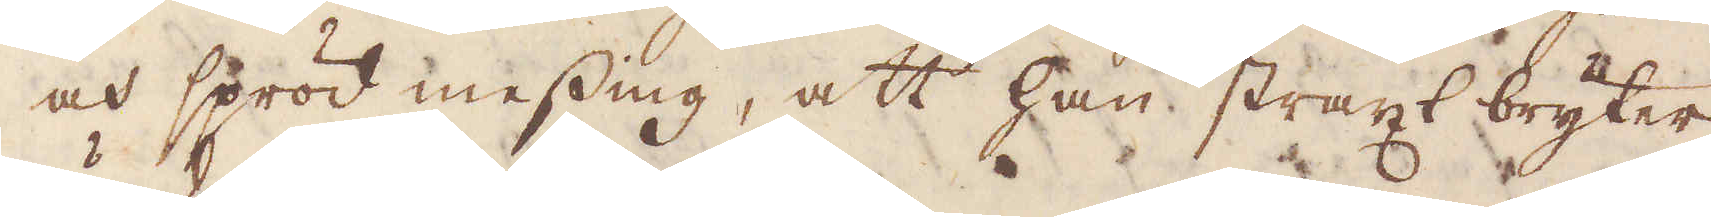och spröd messing, att han straxt bryter
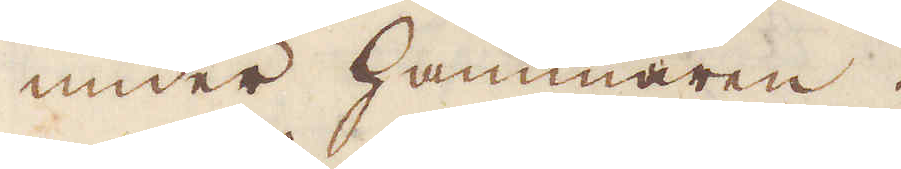under hammaren.
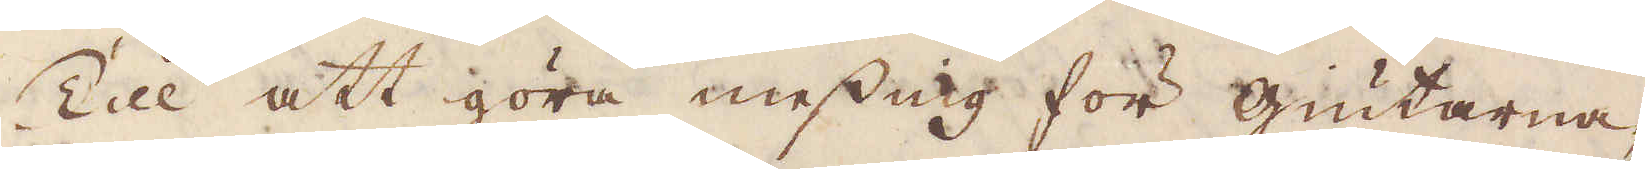Till att göra messing för giutarna,
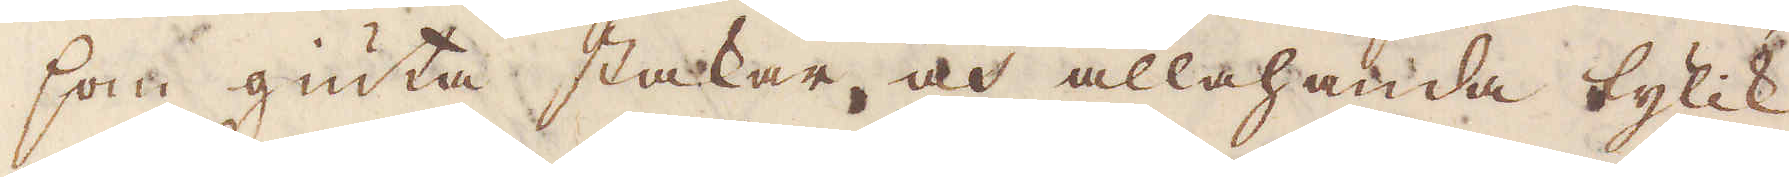som giuta stakar, och allahanda tylik
